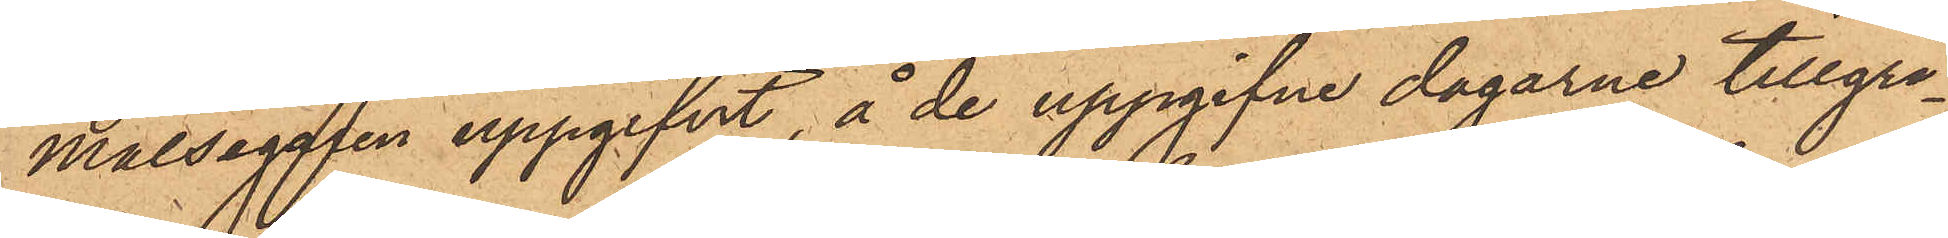målsegaren uppgifvit, å de uppgifne dagarne tillgri¬
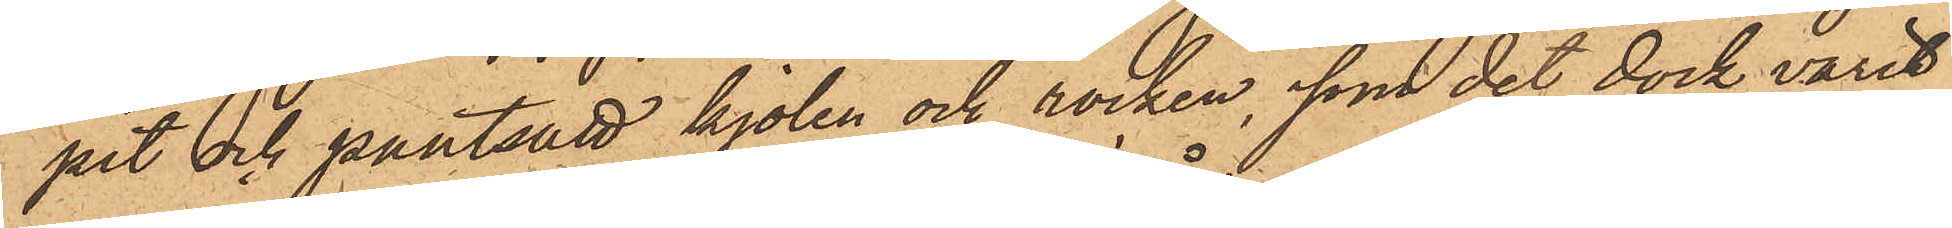pet och pantsatt kjolen och rocken, som det dock varit
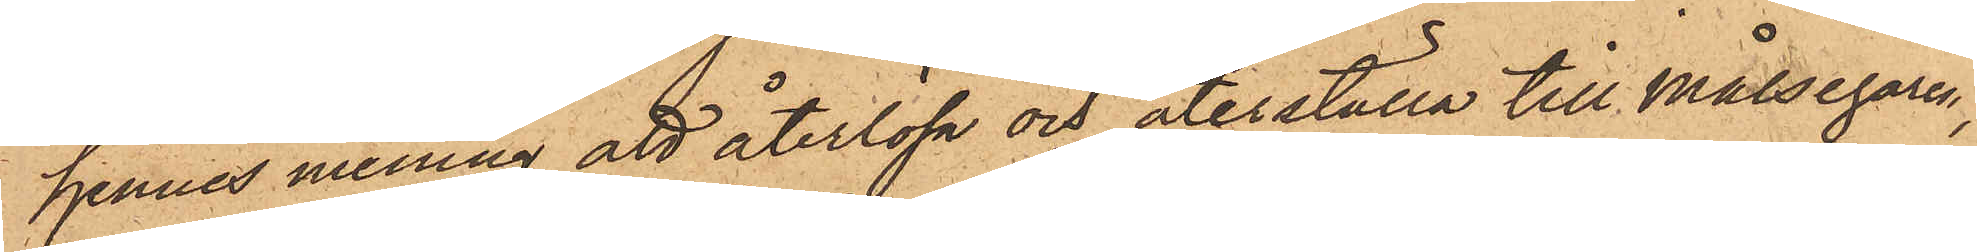hennes mening att återlösa och återställa till Målsegaren,
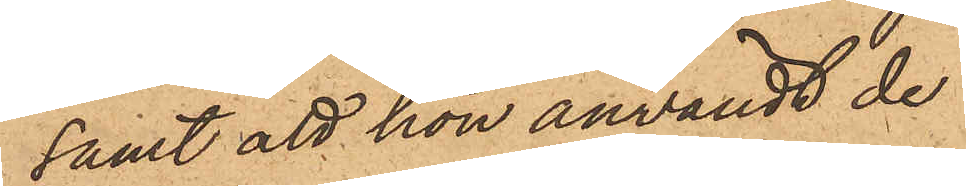samt att hon användt de
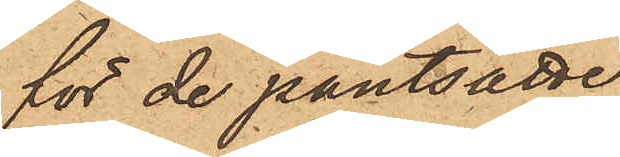för de pantsatte
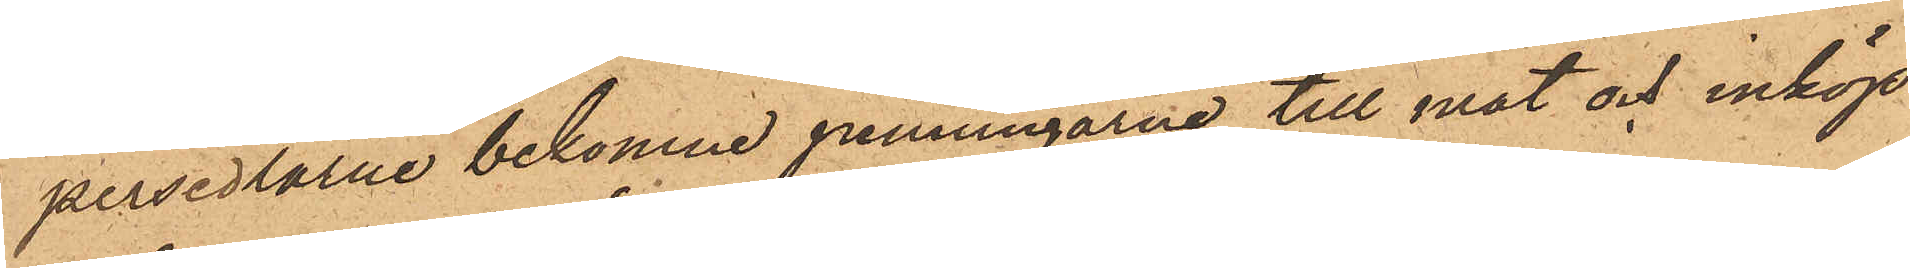persedlarne bekomne penningarne till mat och inköp
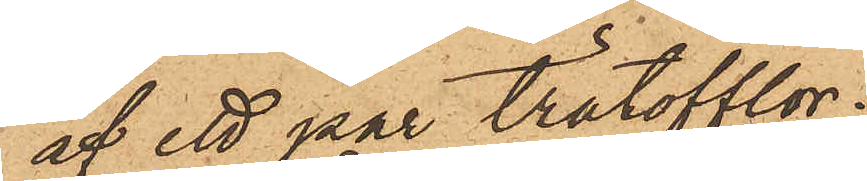af ett par trätofflor.
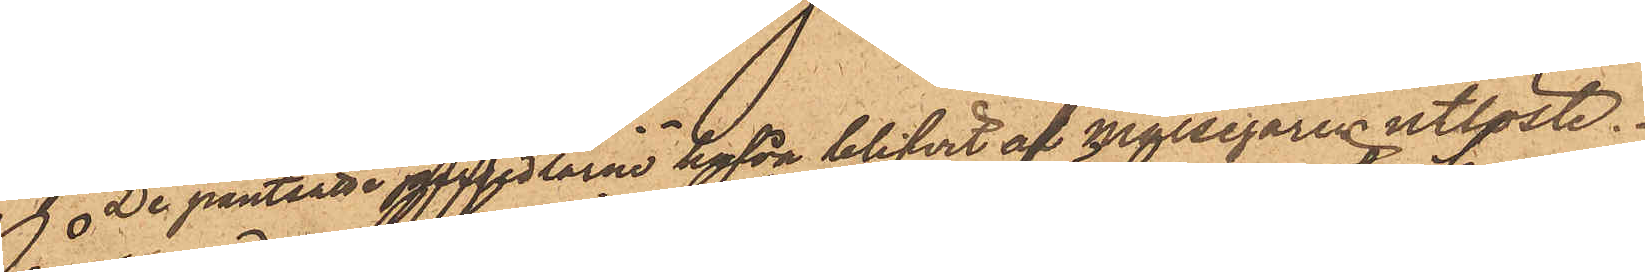De pantsatte persedlarne hafva blifvit af målsegaren utlöste.
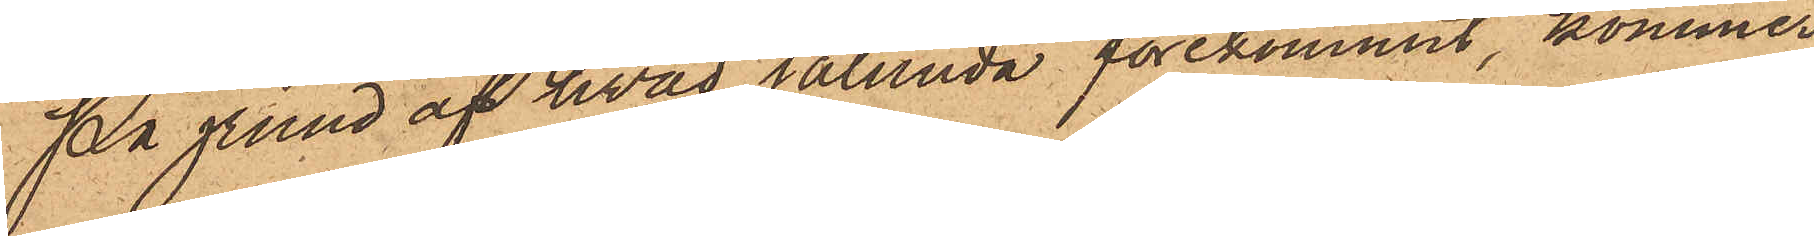På grund af hvad sålunda förekommit, kommer
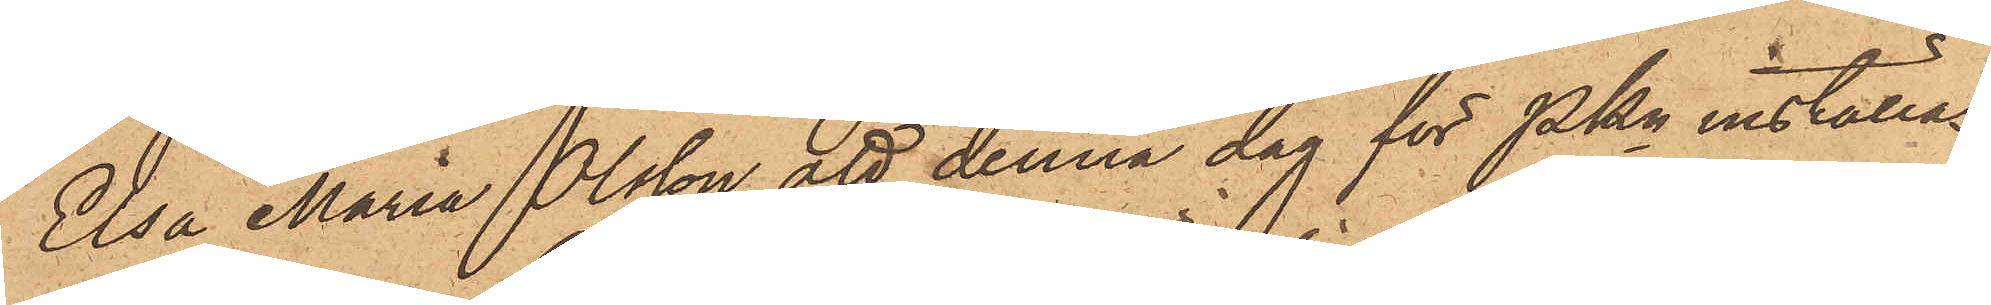Elsa Maria Olsson att denna dag för Pkn inställas.
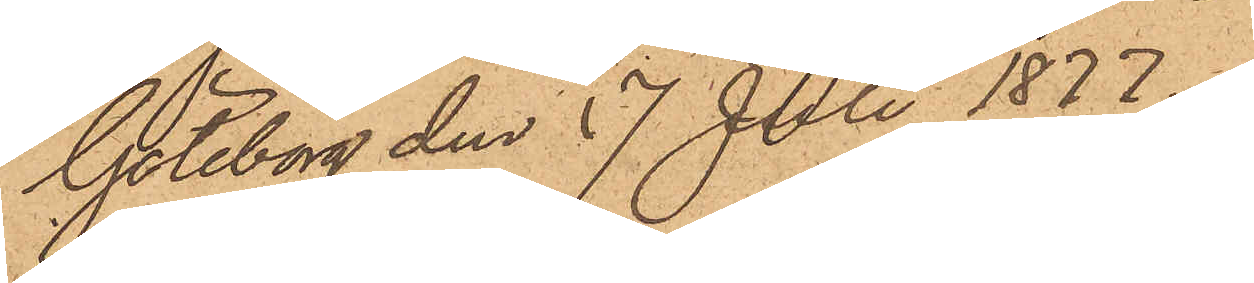Göteborg den 17 Juli 1877
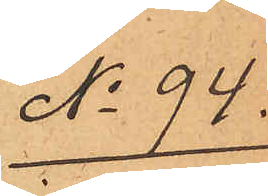No 94.
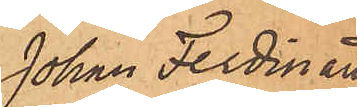Johan Ferdinand
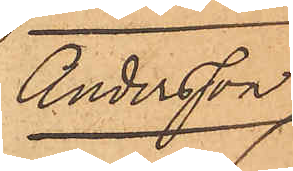Andersson.
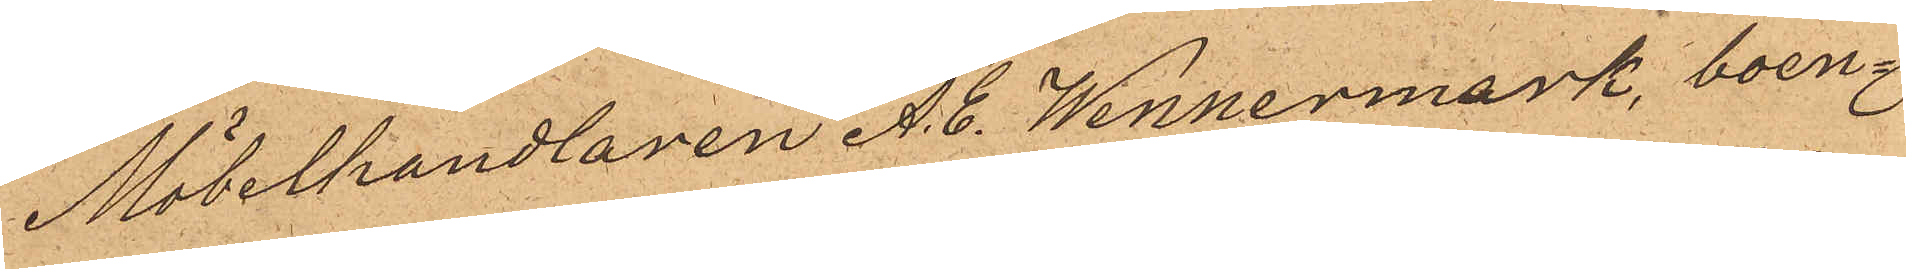Möbelhandlaren A. C. Wennermark, boen¬
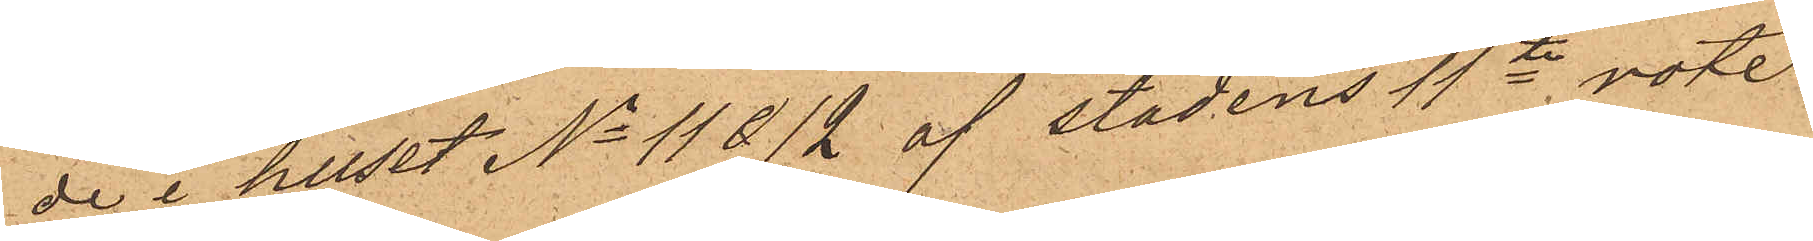de i huset No 11&12 af stadens 11te rote
